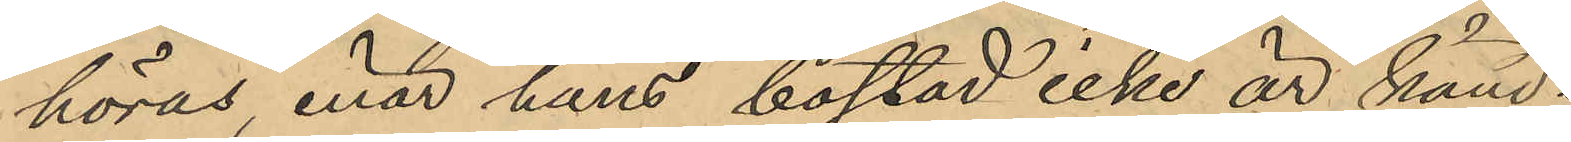höras, enär hans bostad icke är känd.
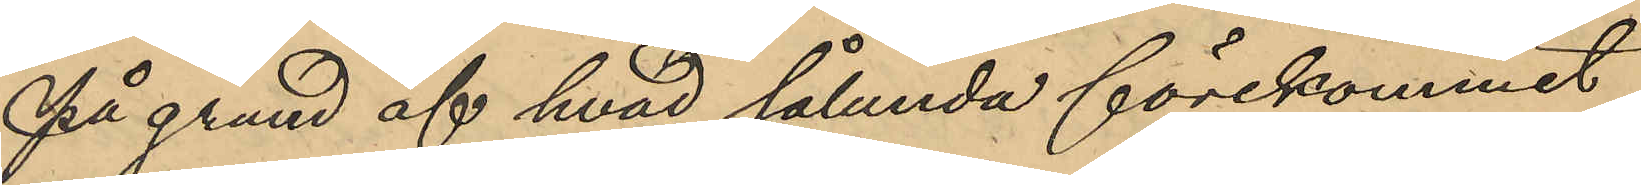På grund af hvad sålunda förekommit
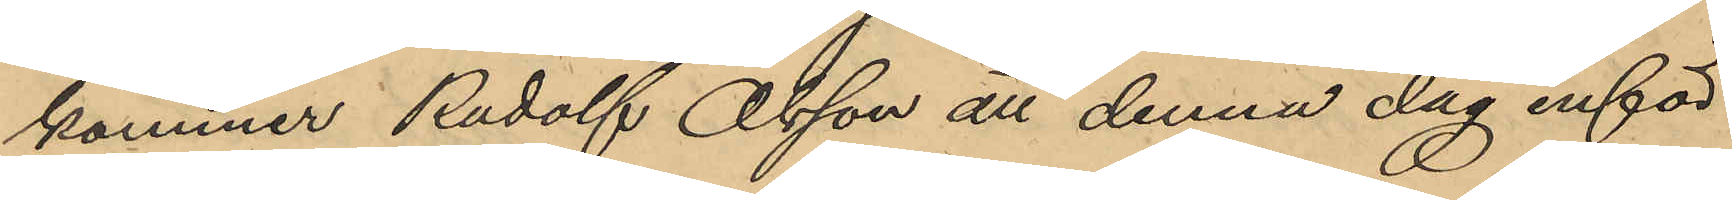kommer Rudolf Olsson att denna dag inför
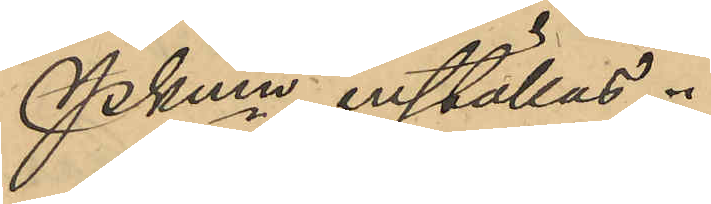Pkmn inställas.
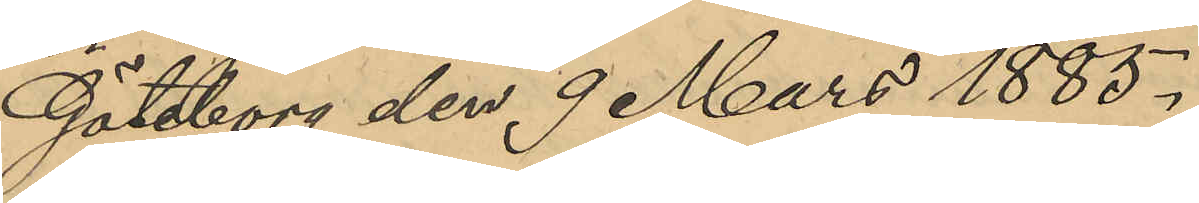Göteborg den 9 Mars 1885.
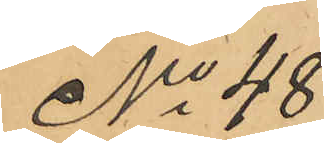No 48
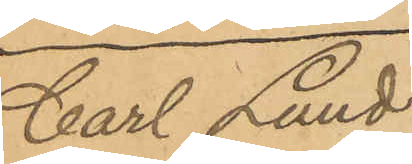Carl Lund¬
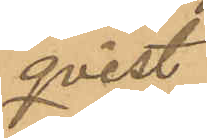qvist
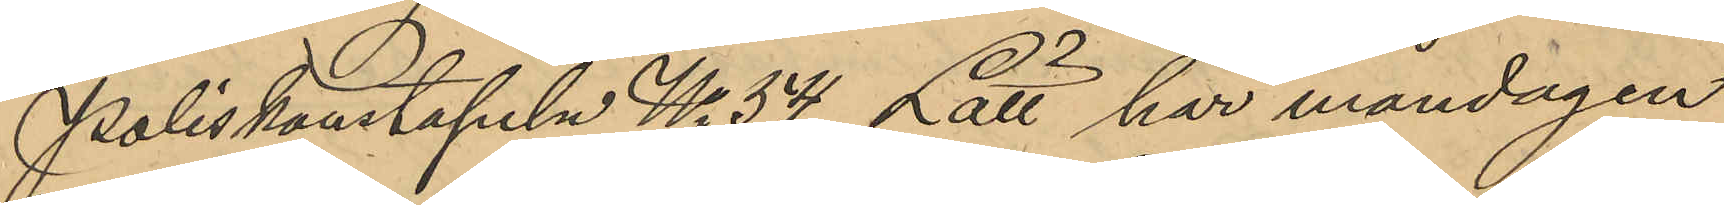Poliskonstapeln No 54 Lätt har måndagen
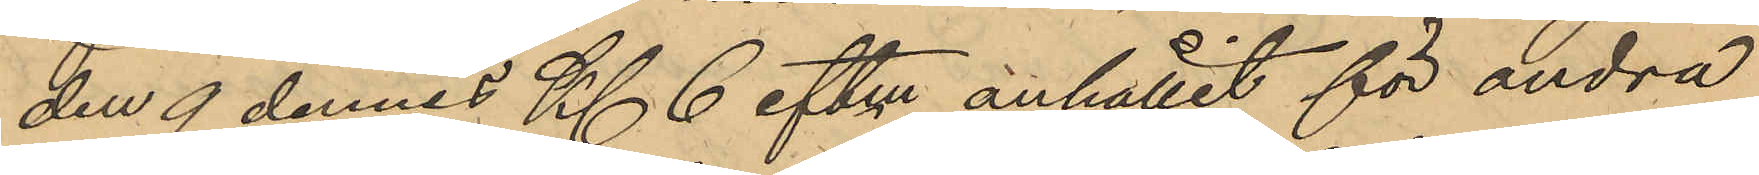den 9 dennes Kl. 6 eftm anhållit för andra
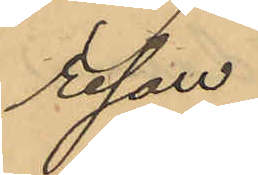resan
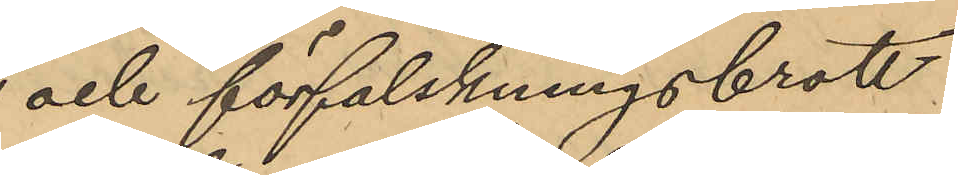och förfalskningsbrott
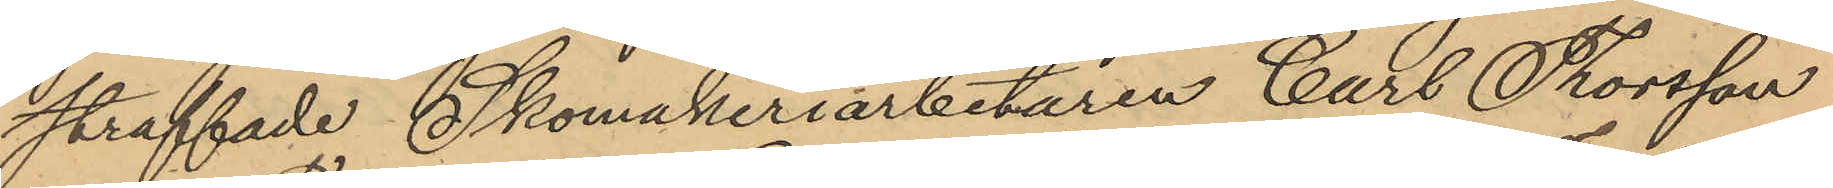straffade Skomakeriarbetaren Carl Thorsson
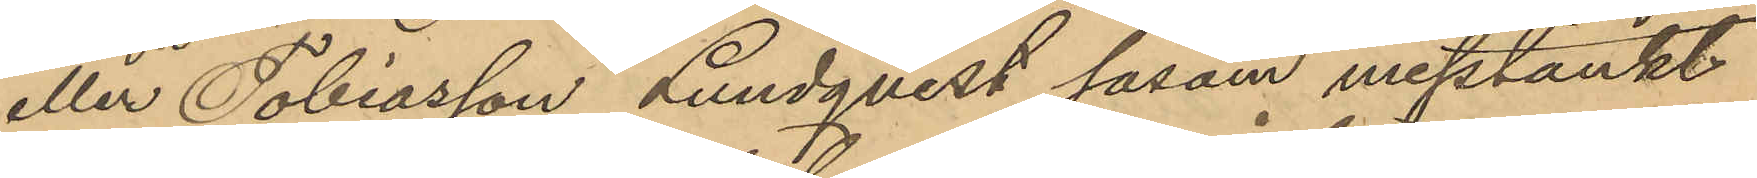eller Tobiasson Lundqvist såsom misstänkt
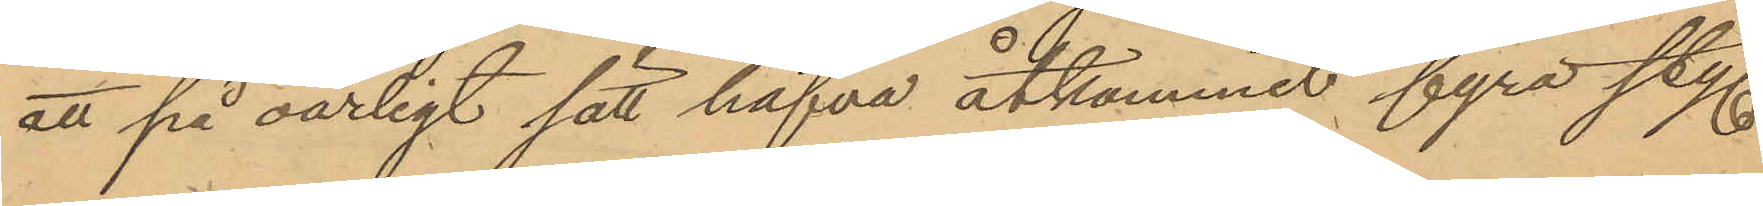att på oärligt sätt hafva åtkommit fyra sty.
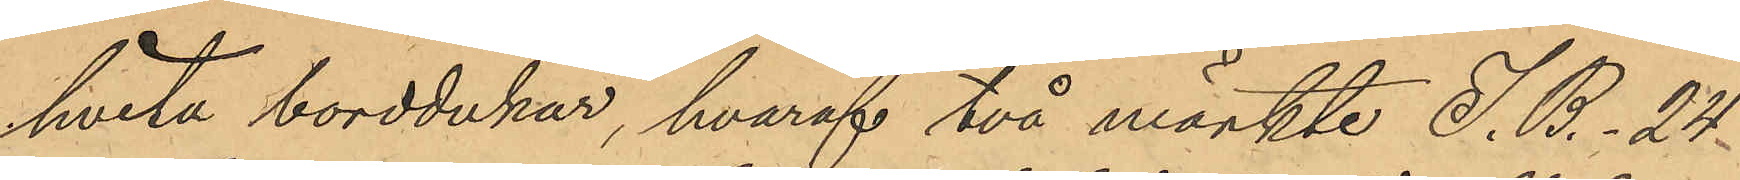hvita borddukar, hvaraf två märkte J. B. 24
